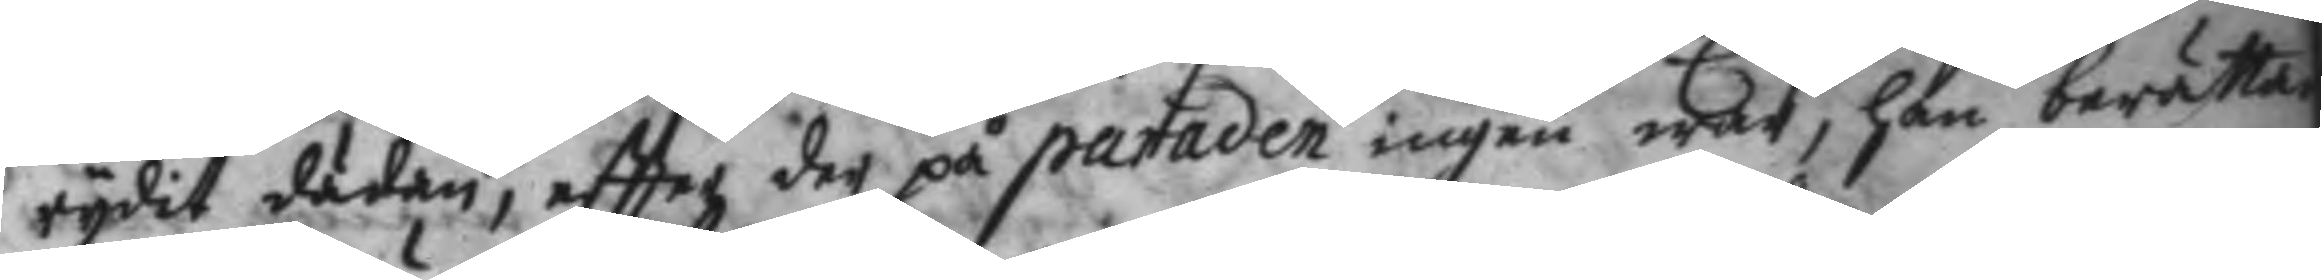rydit dädan, eftter der på paraden ingen war, han berättade
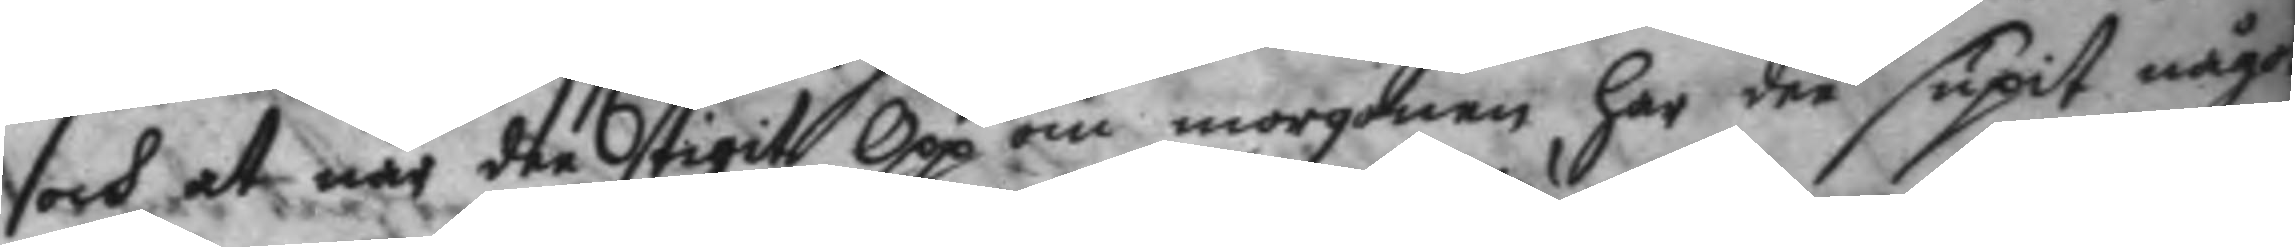och at när dee stigit Opp om morgonen, har dee supit något
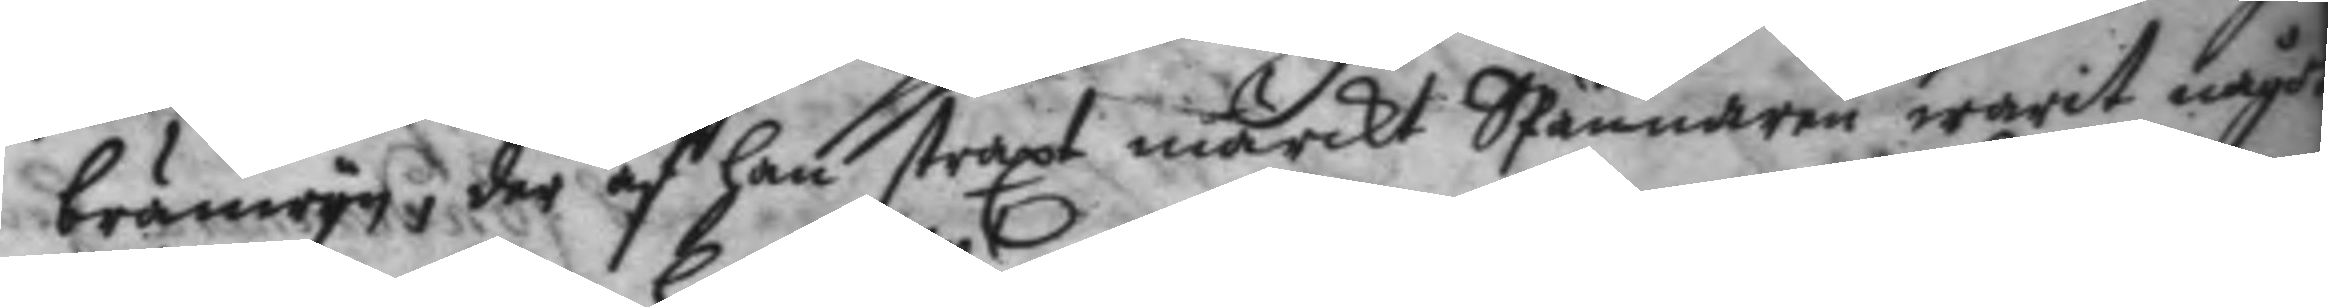bränwyn, der af han straxt märkt SPännaren warit något
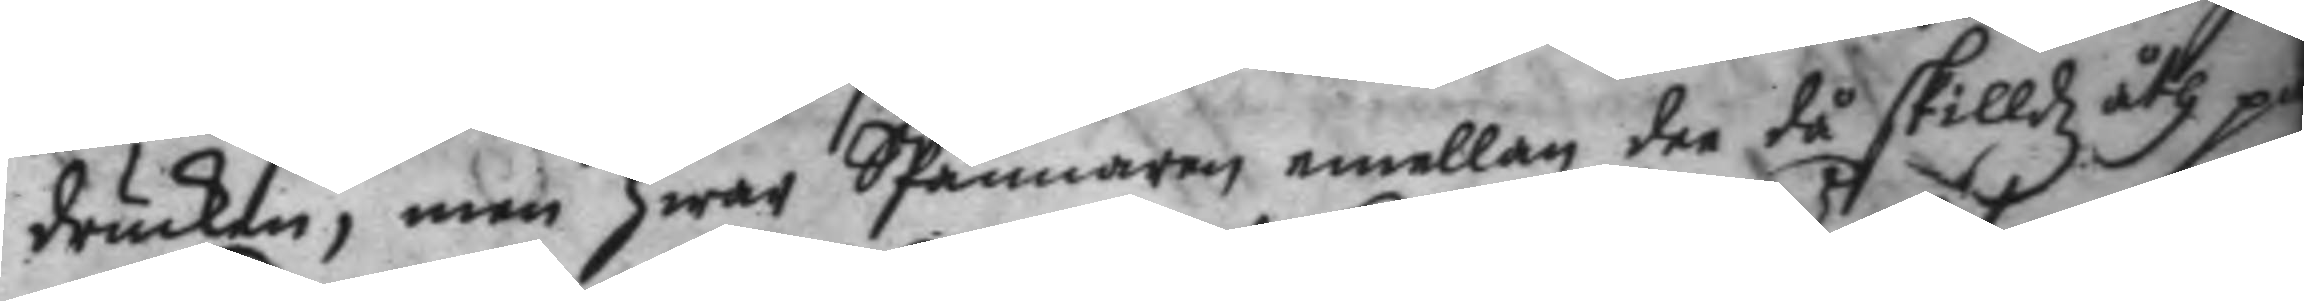drucken, men hwar SPännaren emellan dee då skilldz åth på
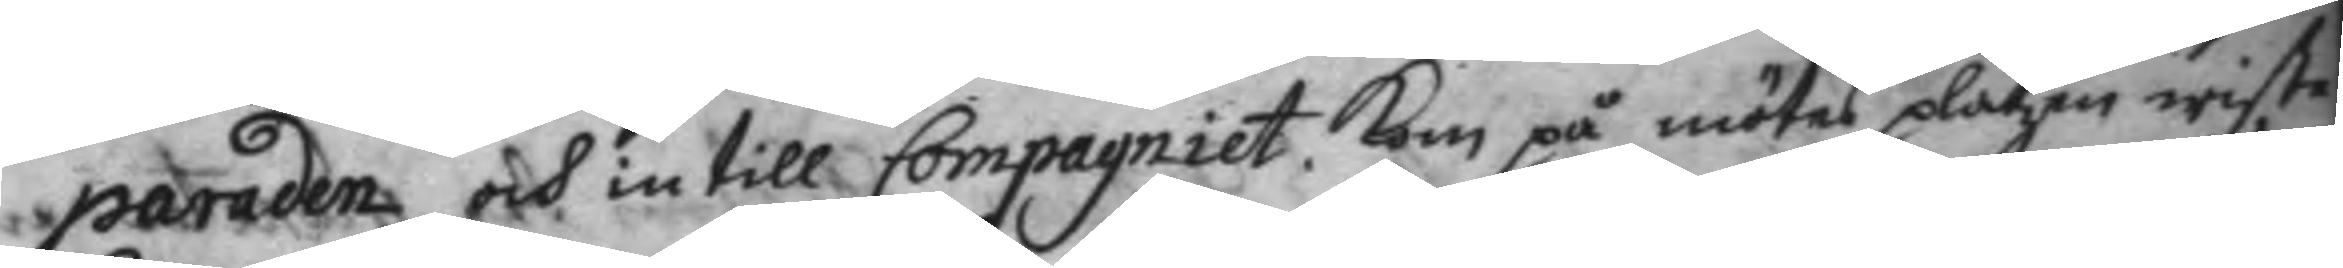paraden och intill Compagniet kom på mötes platzen wiste
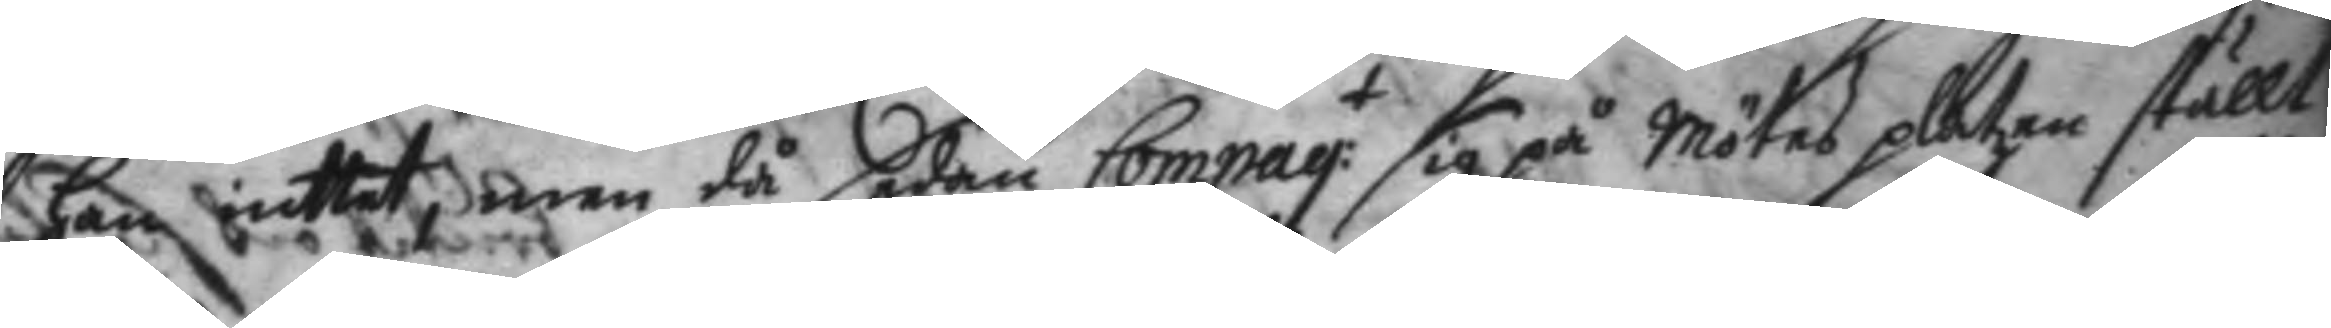han inttet, men då sedan Compag:t sig på mötes platzen ställt
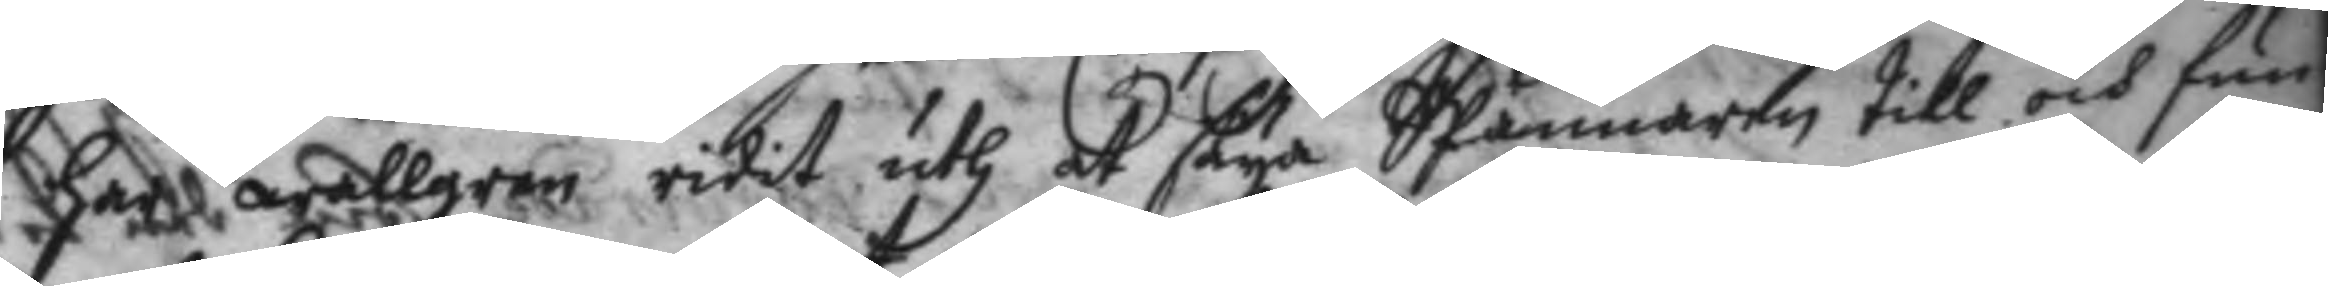har wallgren ridit uth at säya SPännaren till och fun¬
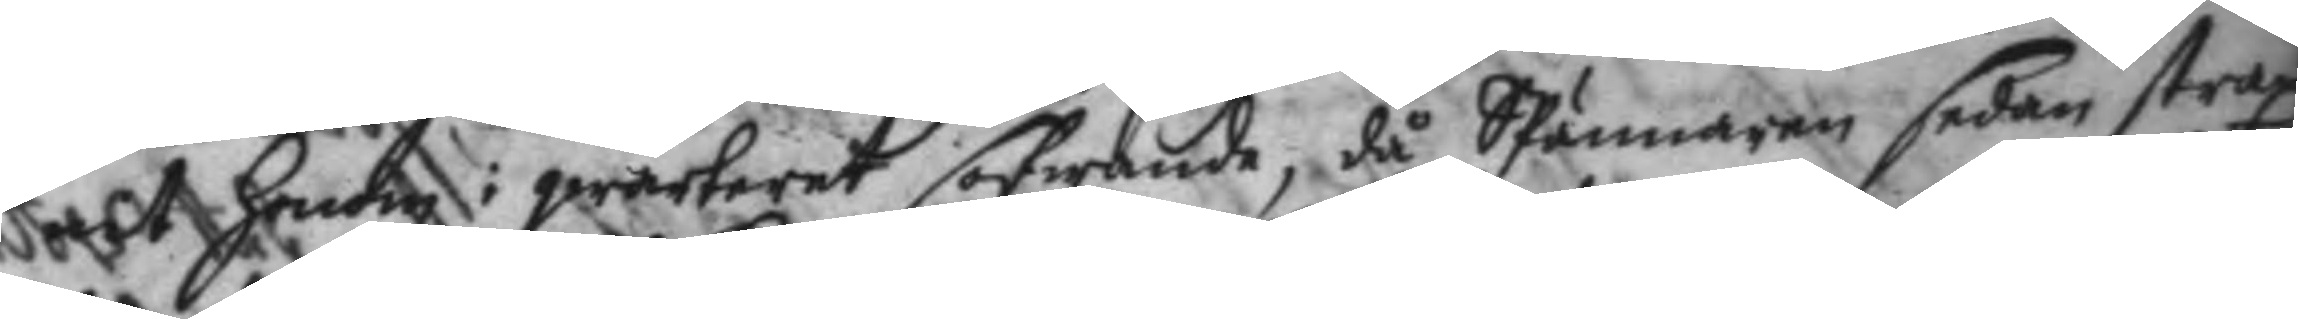nit honom i qwarteret sofwande, då SPännaren sedan strax
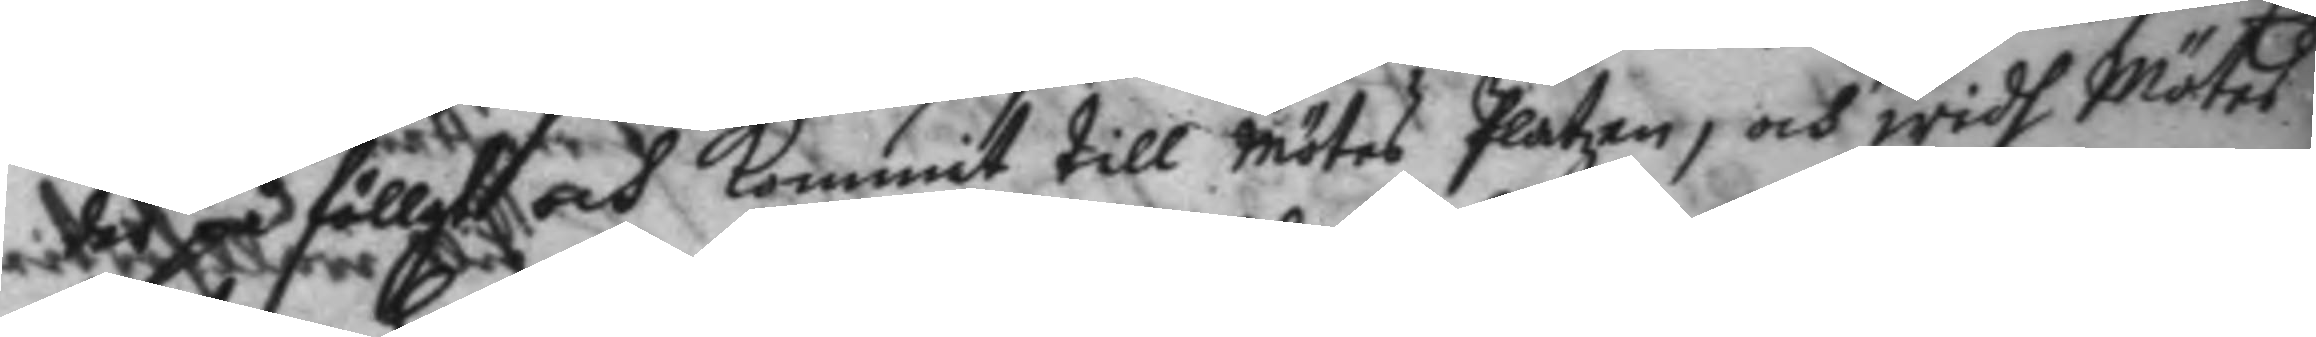der på föllt och kommit till mötes Platzen, och wih Mötes
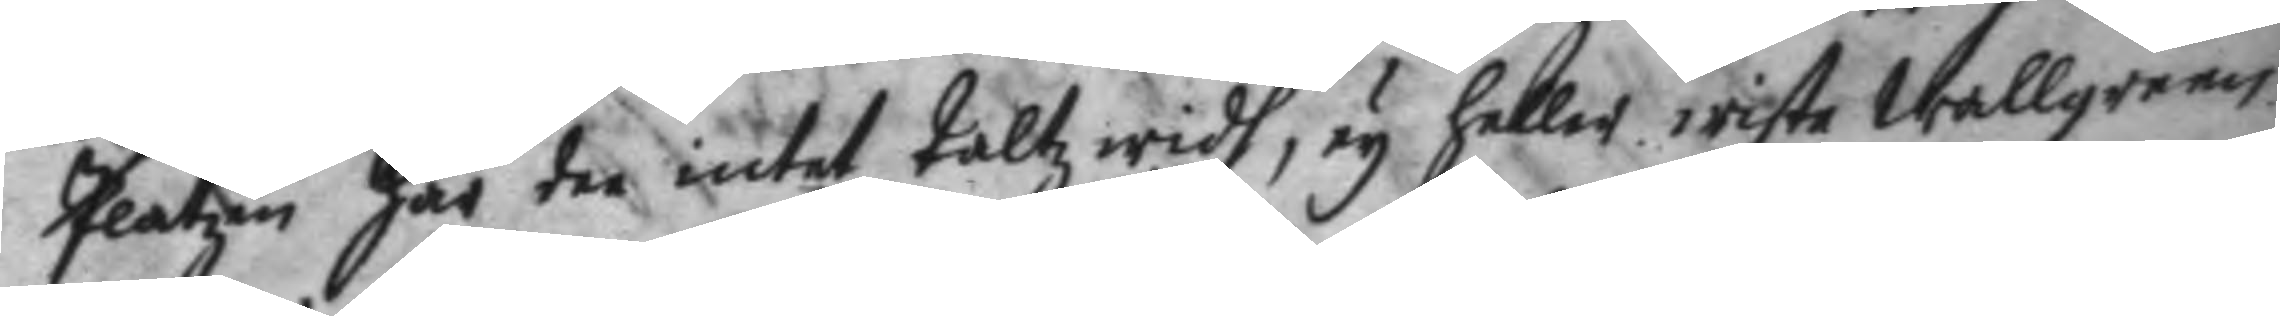Platzen har dee intet taltz widh, ey heller wiste Wallgreen
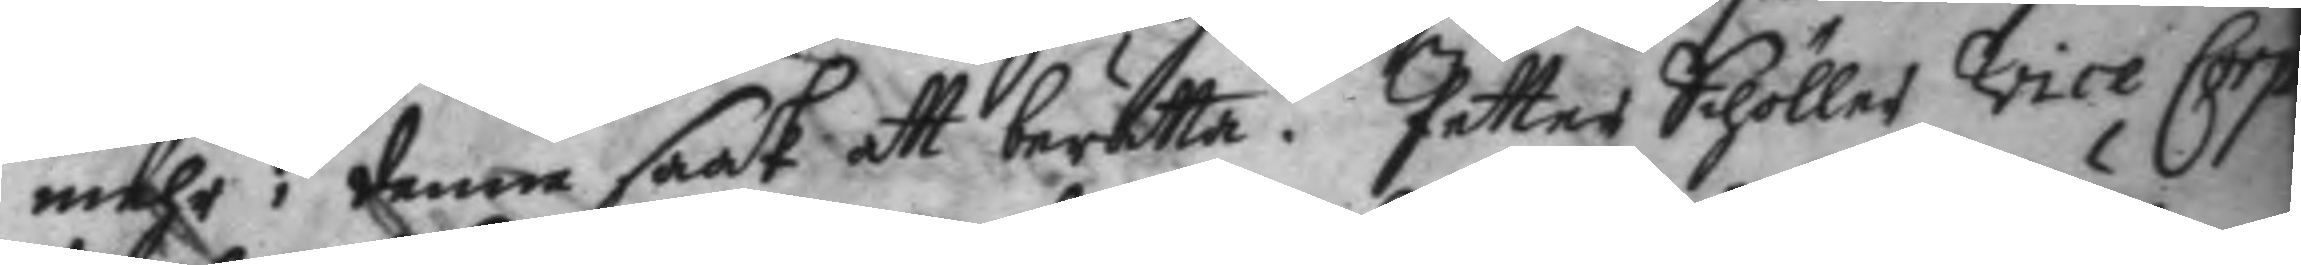mehr i denne saak att berätta. Petter Schöller vice Corp¬
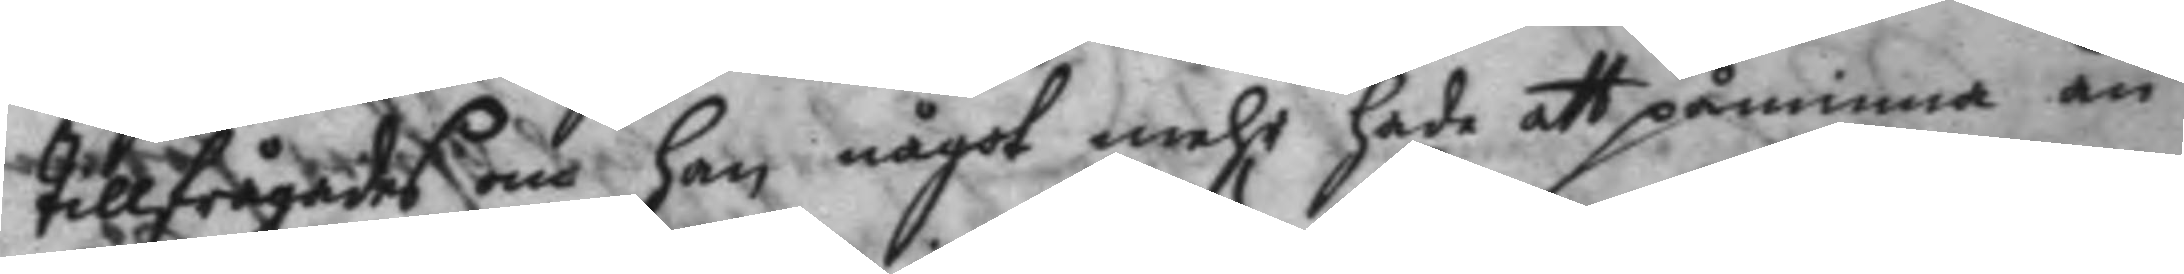tillfrågades om han något mehr hade att påminna än
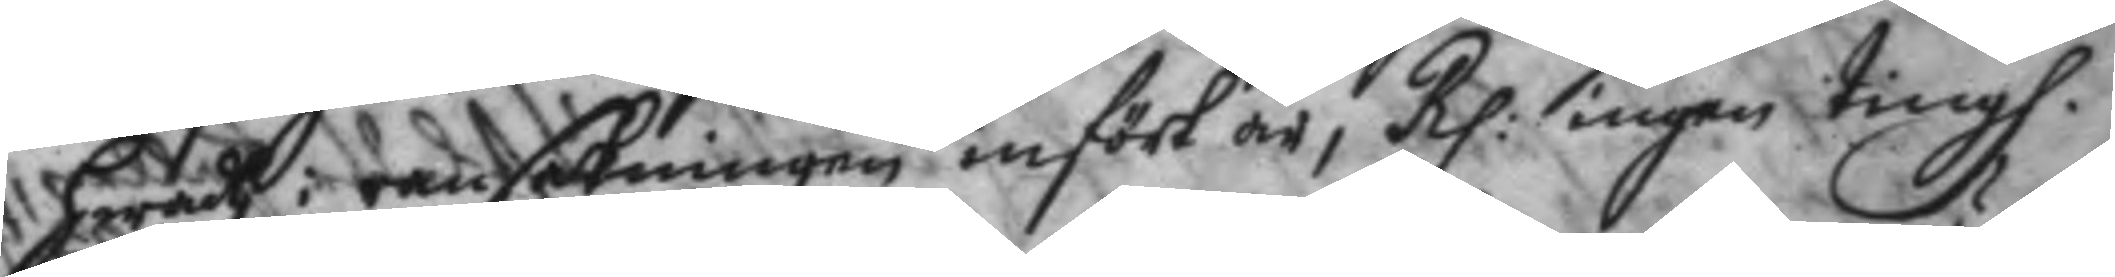hwad i ransakningen infört är, Rp: ingen tingh.
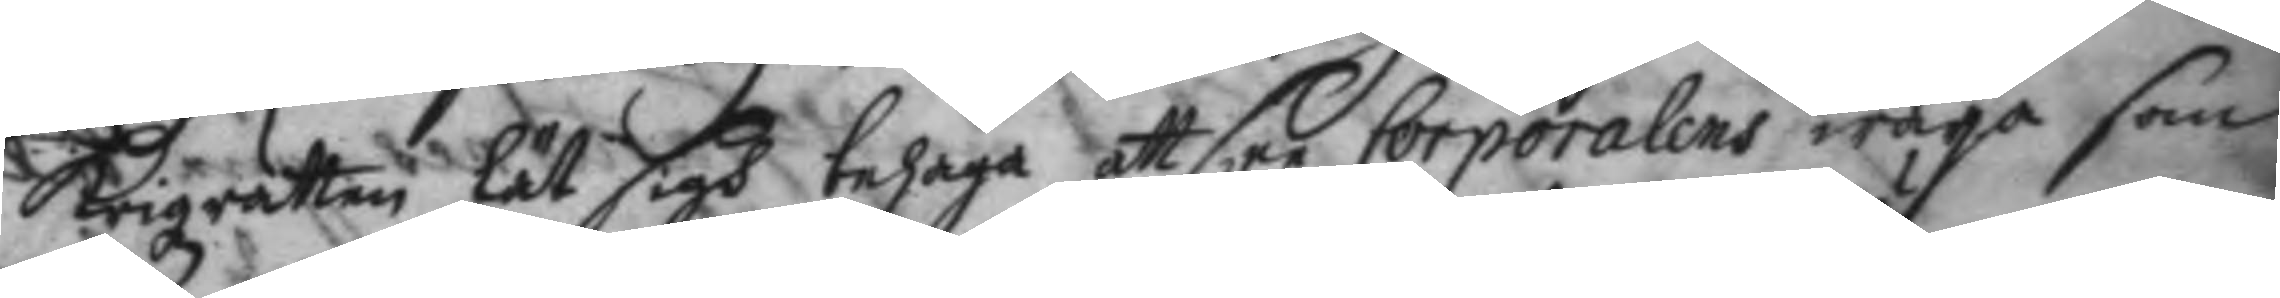Krigzrätten lät sigh behaga att Cee Corporalens wärja som
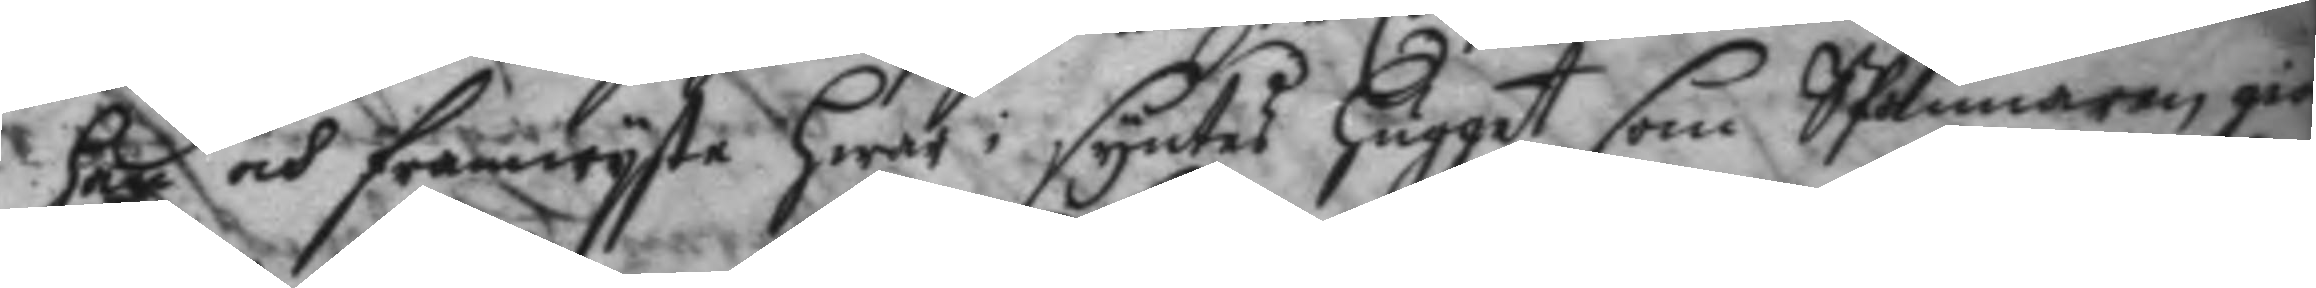han och framwyste hwar i syntes hugget som Spännaren gio
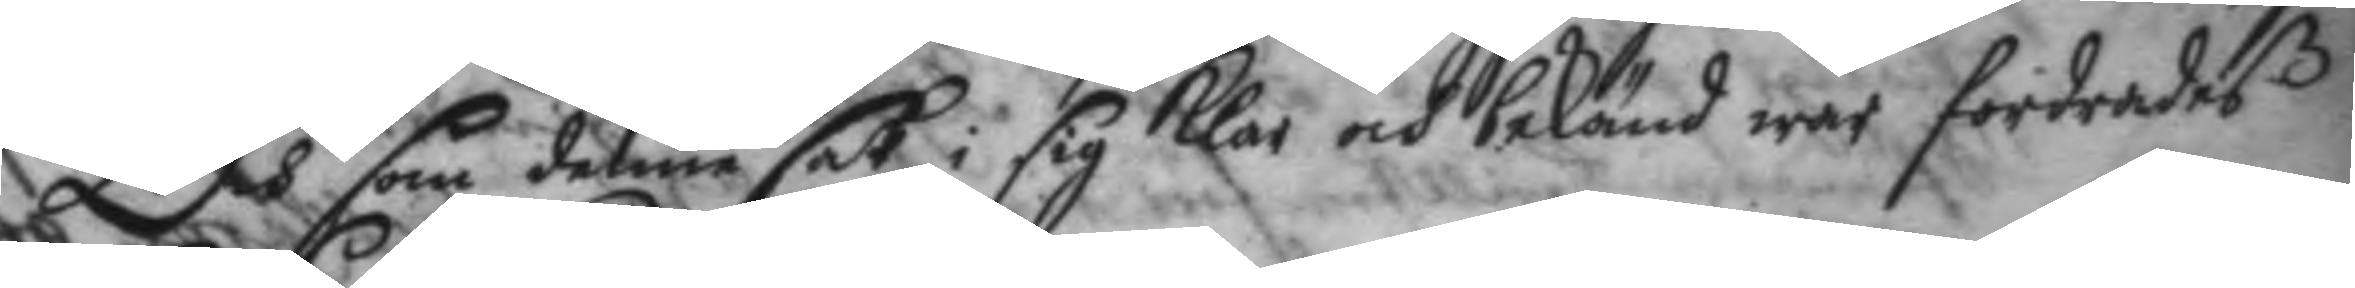Och som denne sak i sig klar och bekänd war fordrades
